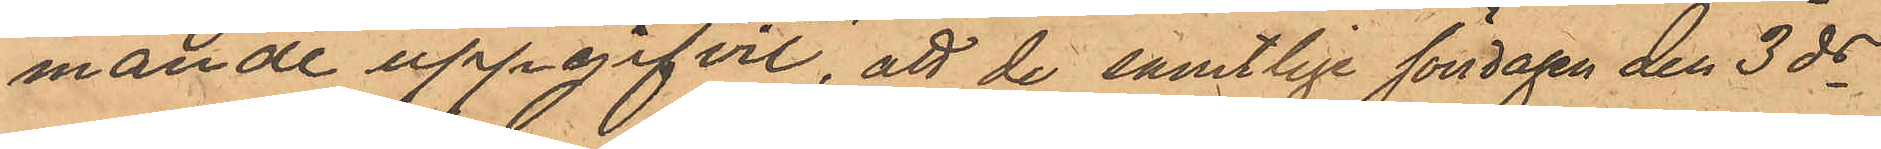mande uppgifvit, att de samtlige söndagen den 3ds
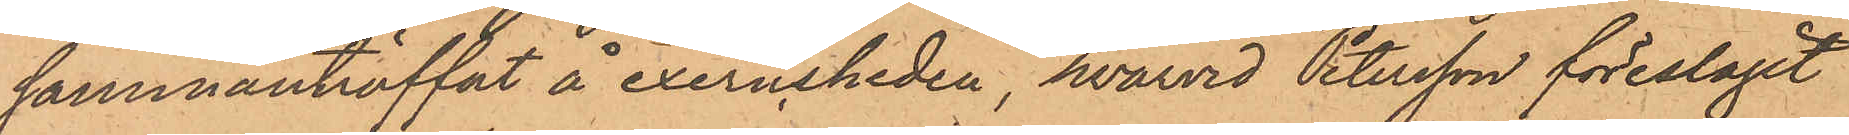sammanträffat å exercisheden, hvarvid Petersson föreslagit
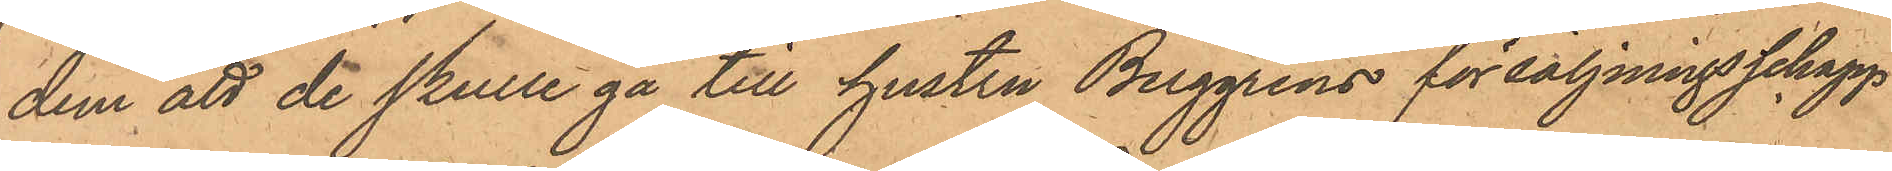dem att de skulle gå till hustru Berggrens försäljningschapp
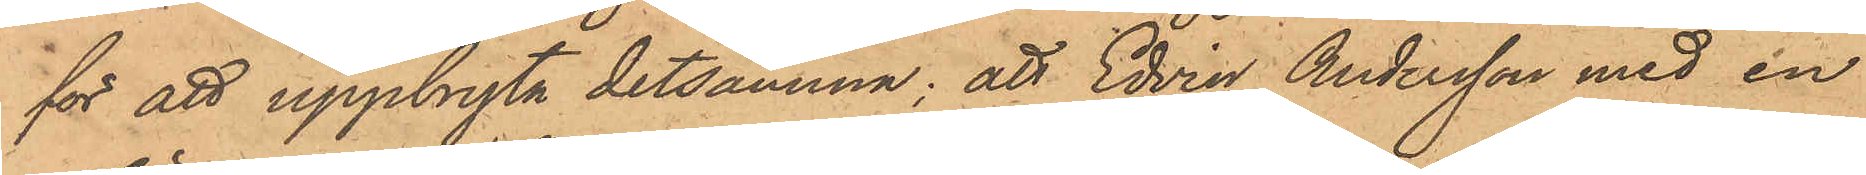för att uppbryta detsamma; att Edvin Andersson med en
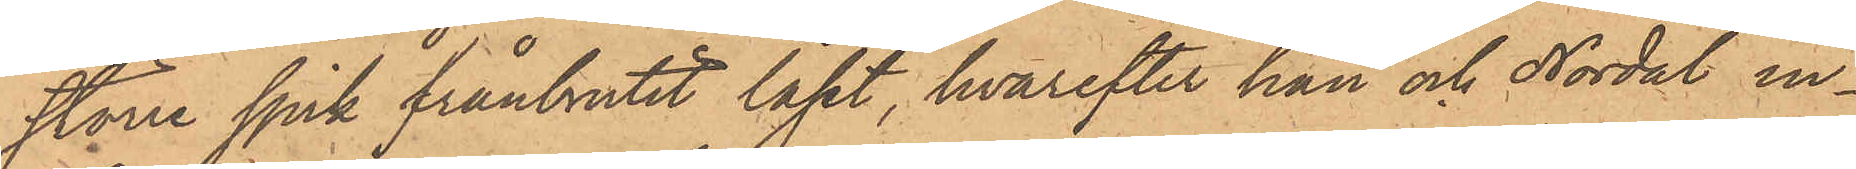större spik frånbrutit låset, hvarefter han och Nordal in¬
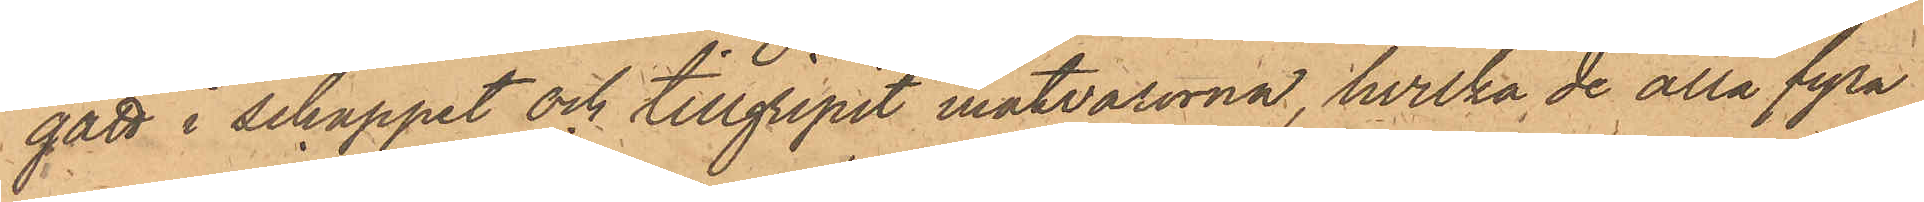gått i schappet och tillgripit matvarorna, hvilka de alla fyra
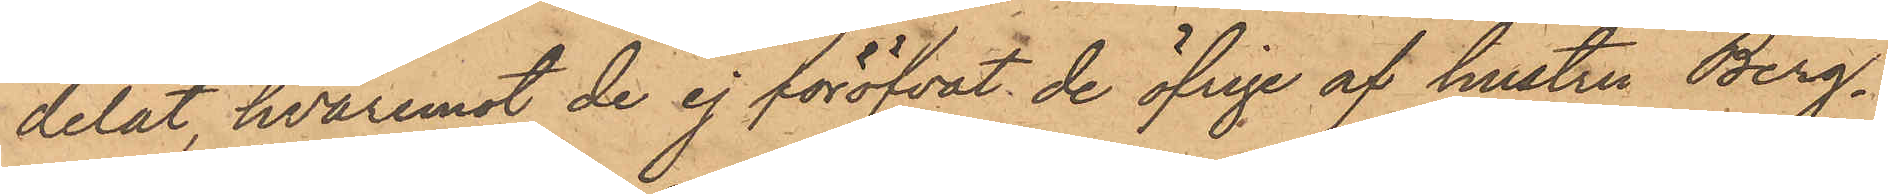delat, hvaremot de ej föröfvat de öfrige af hustru Berg¬
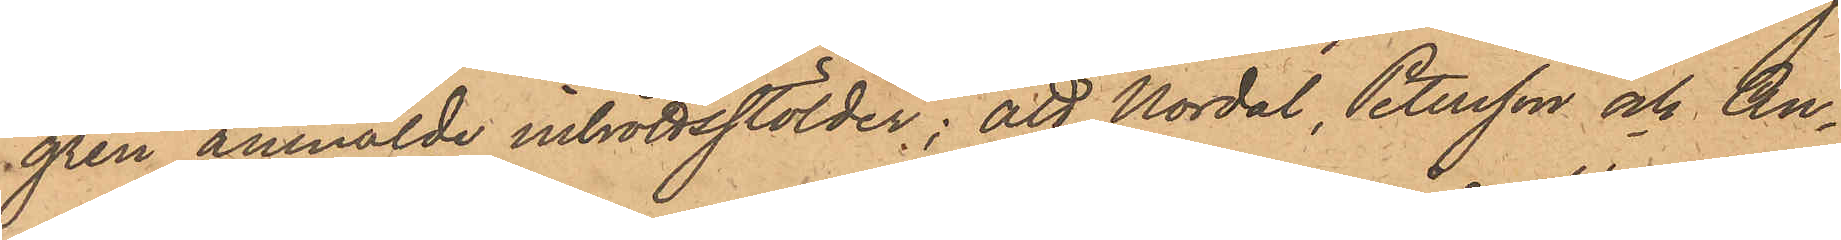gren anmälde inbrottsstölder; att Nordal, Petersson och An¬
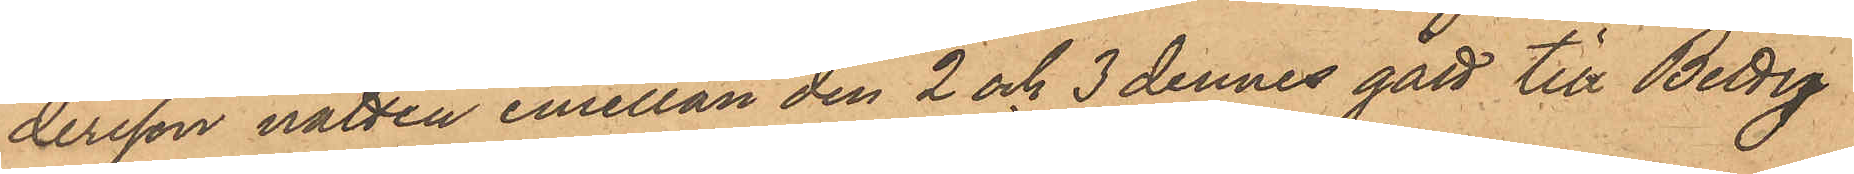dersson natten emellan den 2 och 3 dennes gått till Betty
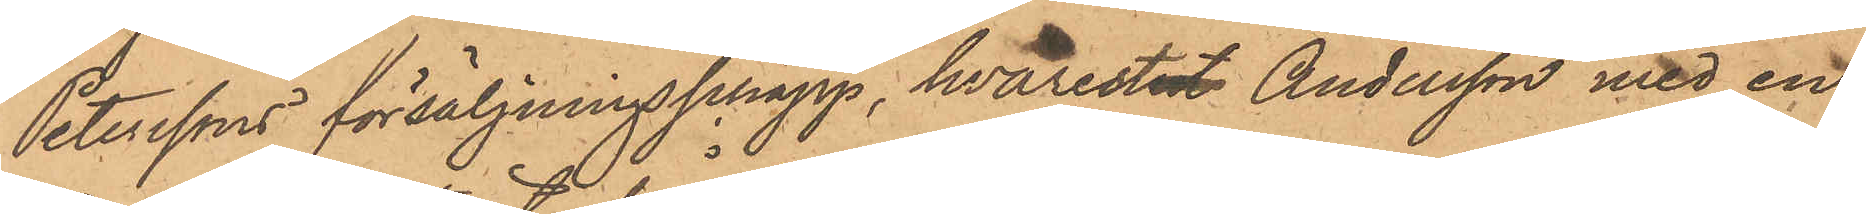Peterssons försäljningschapp, hvarest Andersson med en
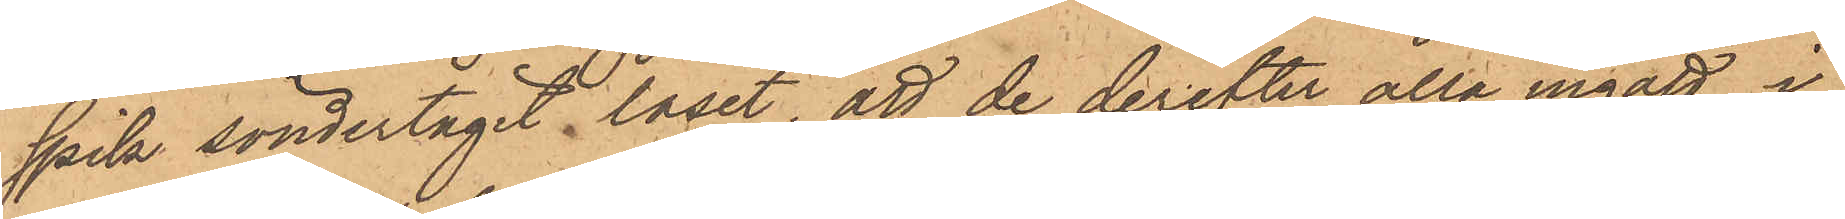spik söndertagit låset, att de derefter alla ingått i
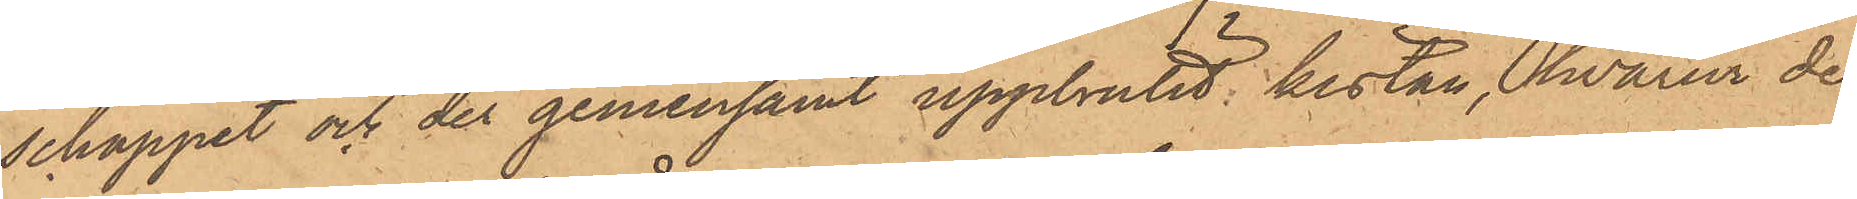schappet och der gemensamt uppbrutit kistan, hvarur de
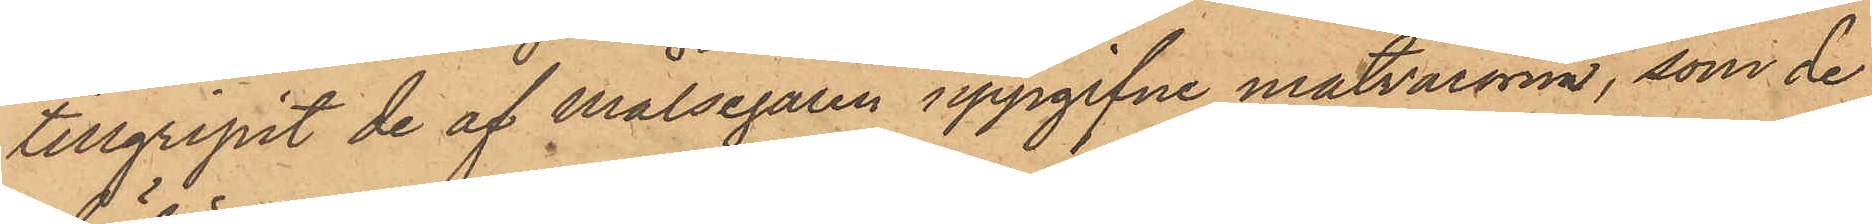tillgripit de af målsegaren uppgifne matvarorna, som de
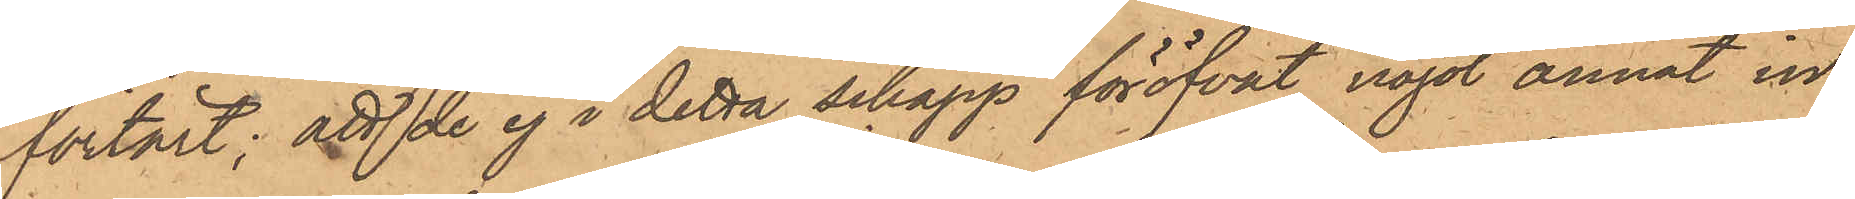förtärt; att de ej i detta schapp föröfvat något annat in¬
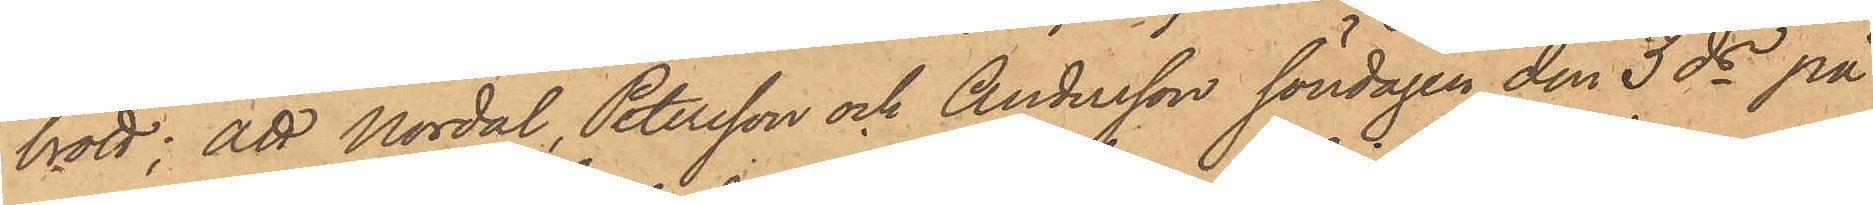brott; att Nordal, Petersson och Andersson söndagen den 3ds på
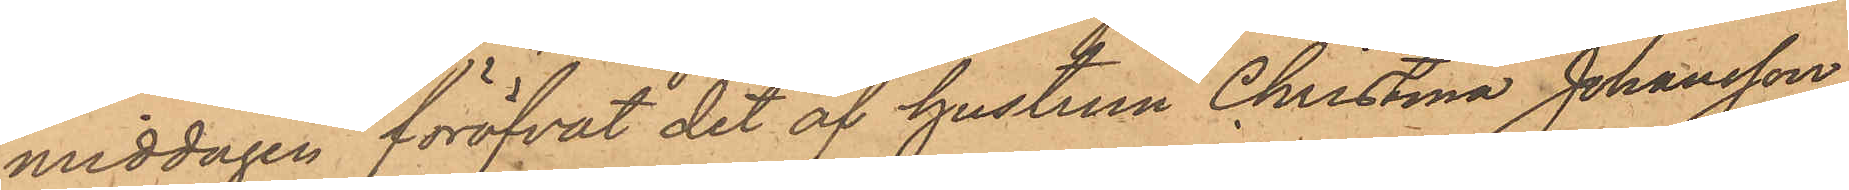middagen föröfvat det af hustrun Christina Johansson
